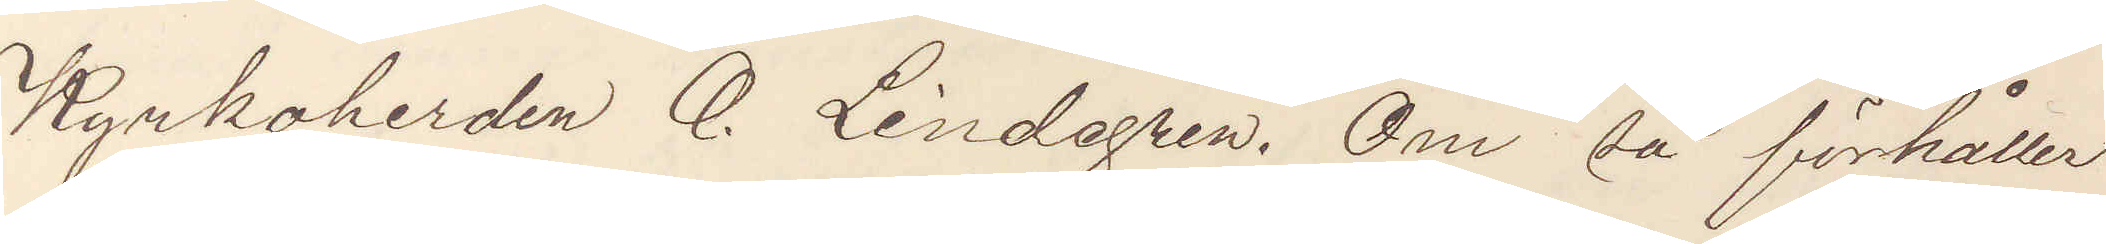Kyrkoherden O. Lindegren. Om så förhåller
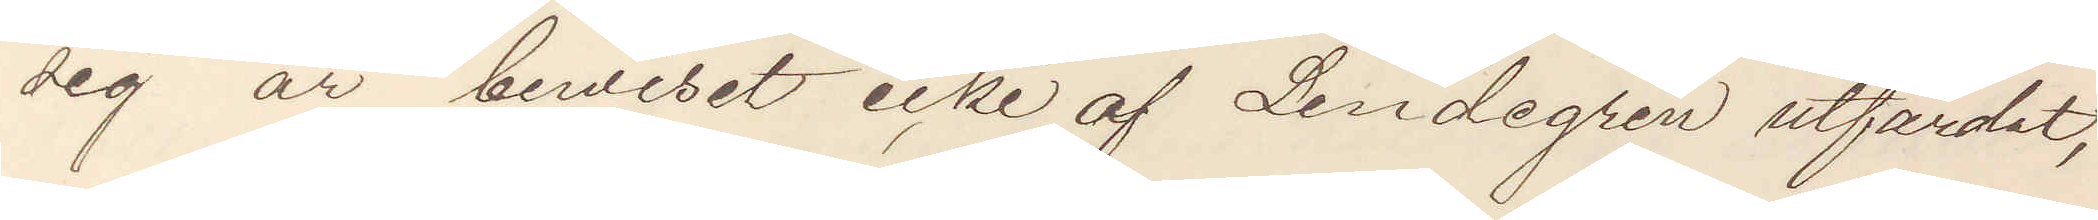sig är bewiset icke af Lindegren utfärdat,
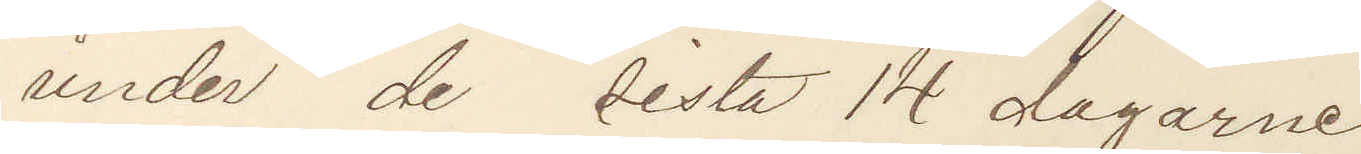under de sista 14 dagarne.
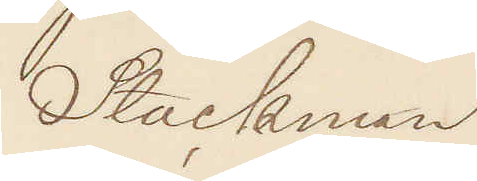Stockman
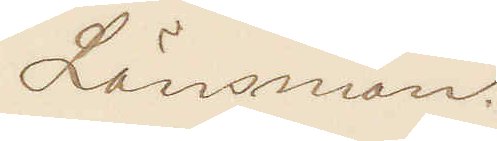Länsman.
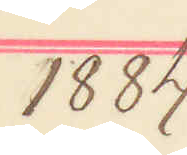1884
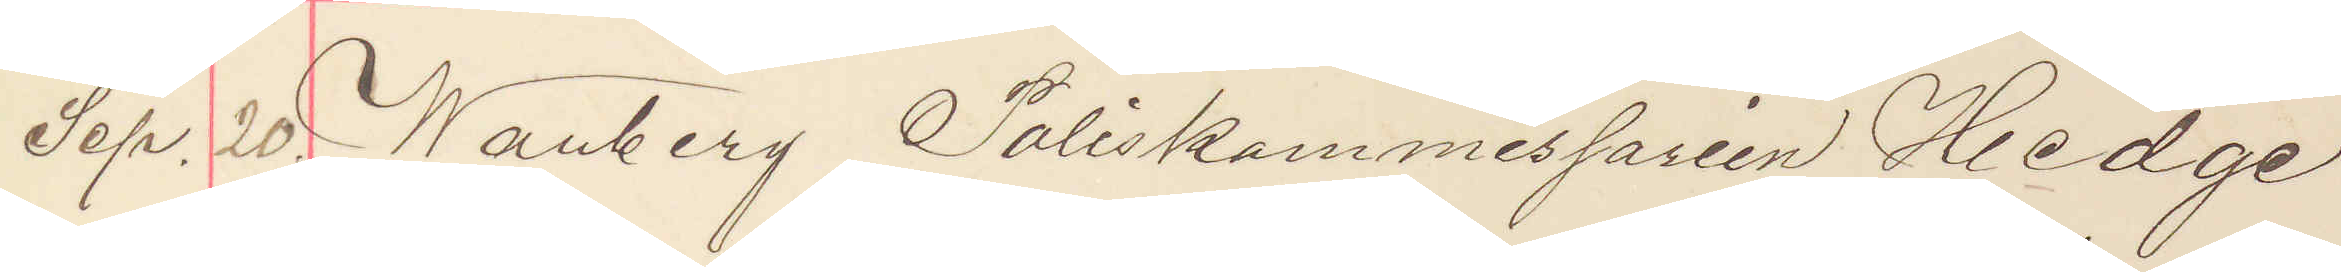Sep. 20. Warberg Poliskommissarien Hedge
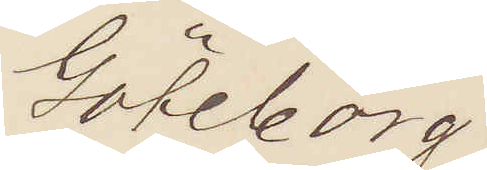Göteborg.
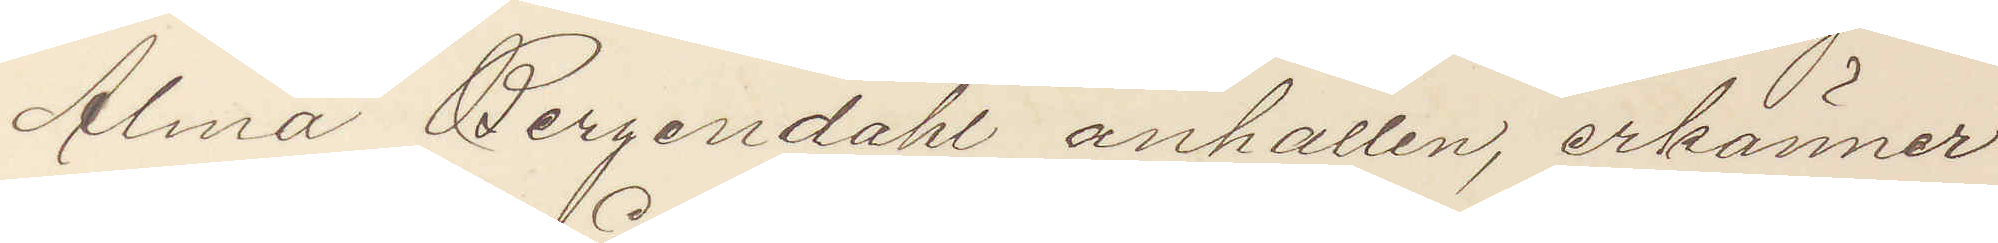Alma Bergendahl anhållen, erkänner
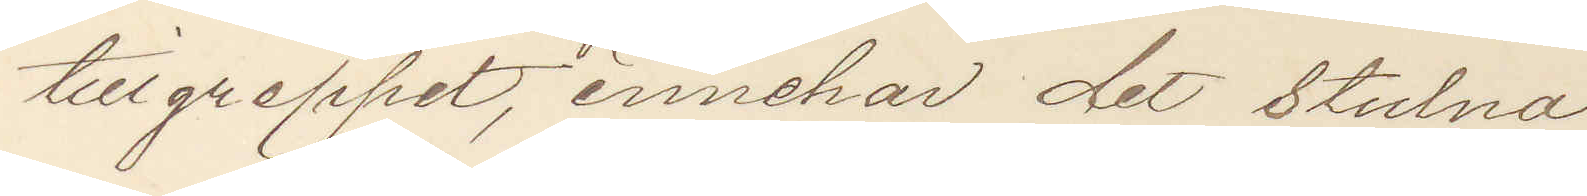tillgreppet, innehar det stulna
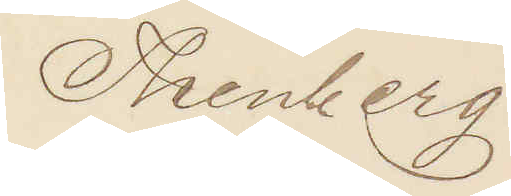Thenberg
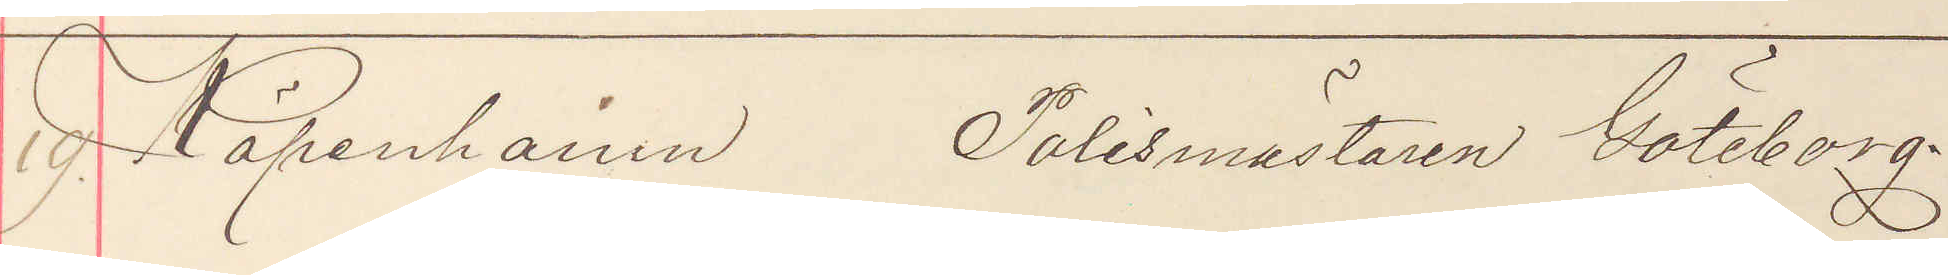19 Köpenhamn Polismästaren Göteborg.
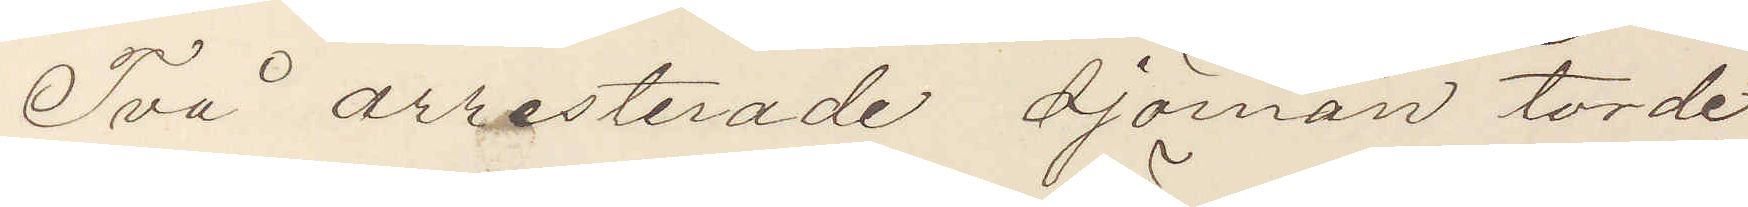Två arresterade sjömän torde
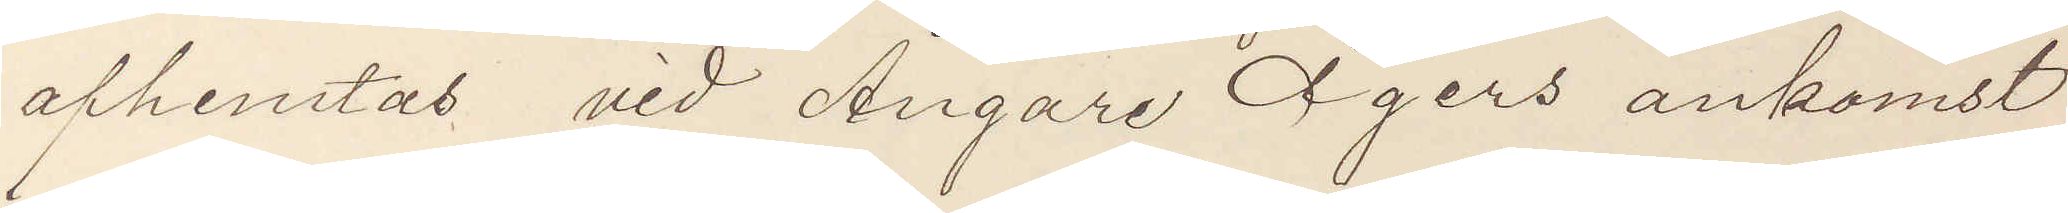afhemtas vid Ångare Ägers ankomst
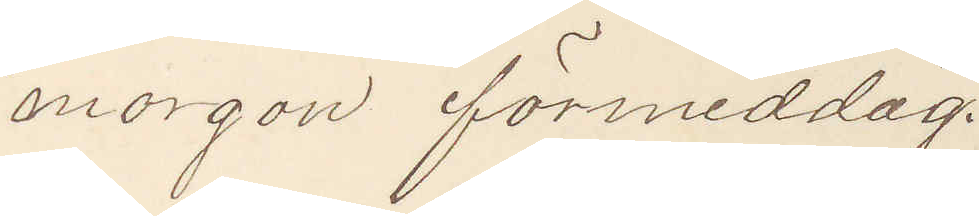morgon förmiddag.
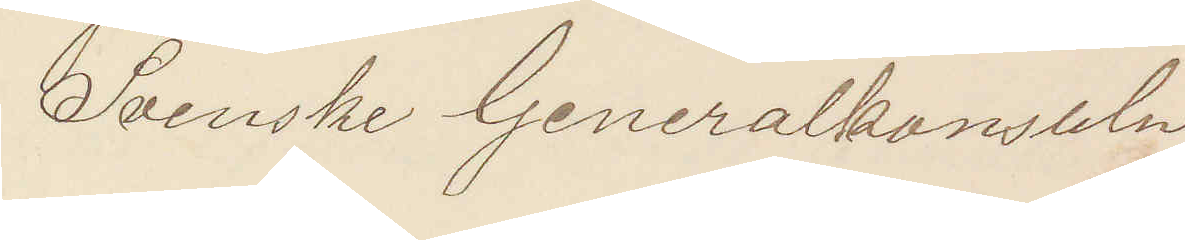Svenske Generalkonsuln
